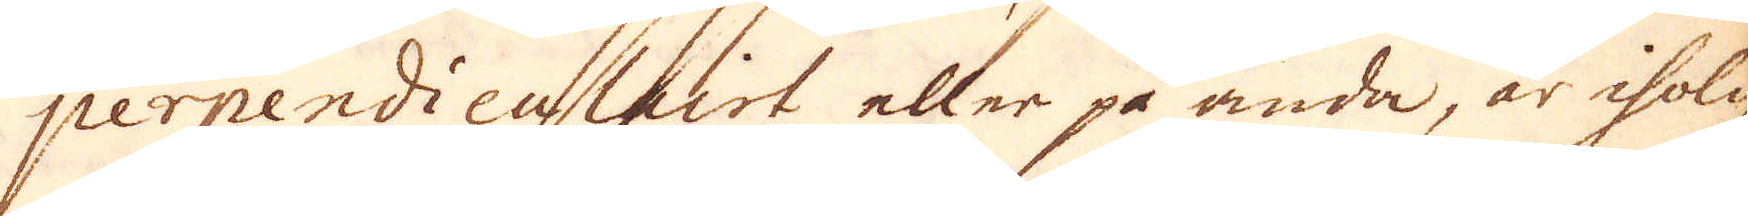perpendieculairt eller på ända, är iholig
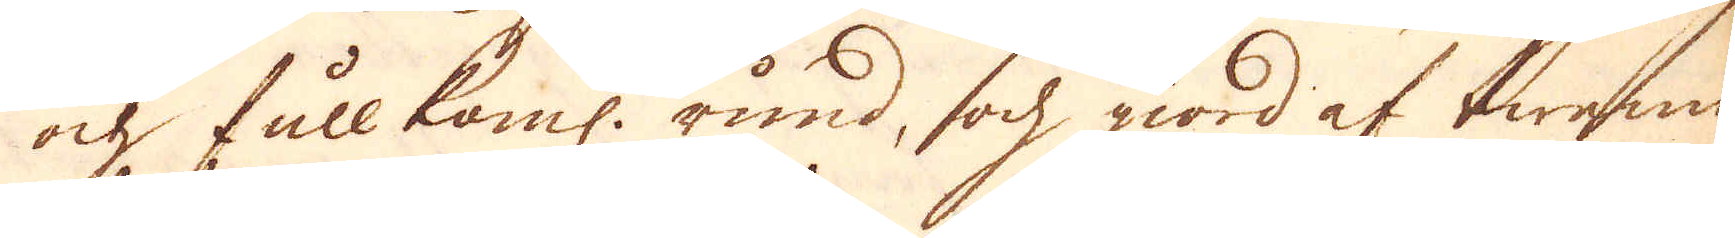ock fullkoml: rund, och giord af twenne
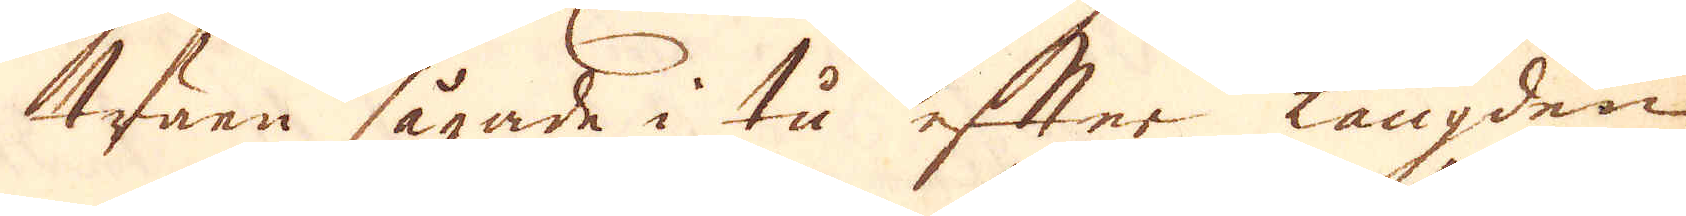träen sågade i tu efter längden,
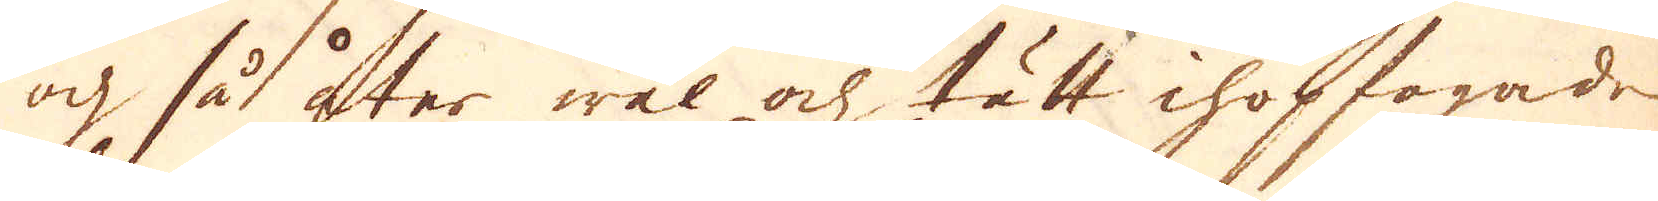och så åter wäl och tätt ihopfogade.
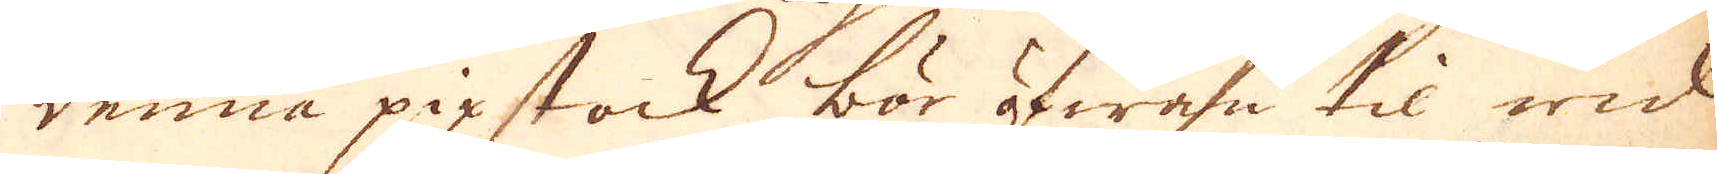Denna pipstock bör åfwan til wid
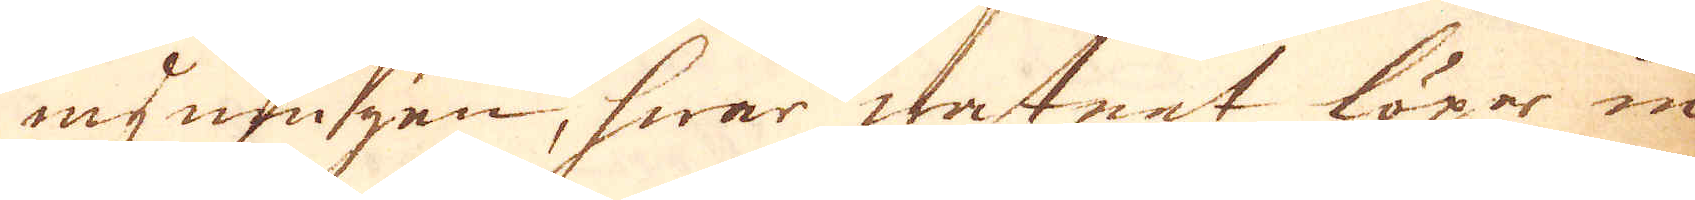myningenen, hwrar watnet löper in
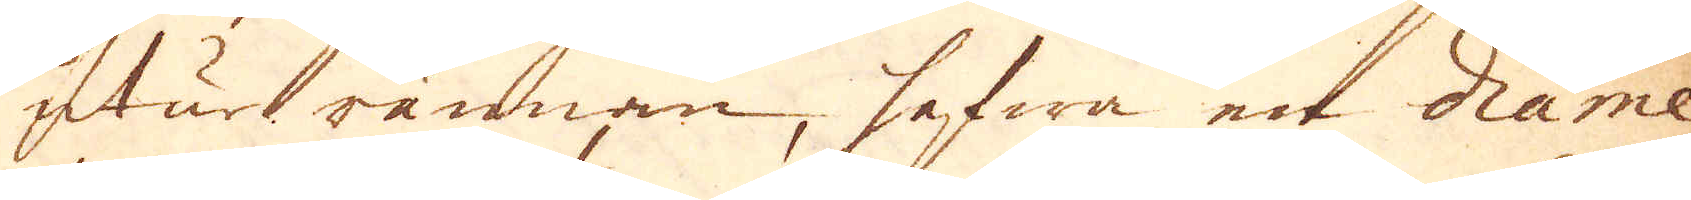utur rännan, hafwa et Diame-
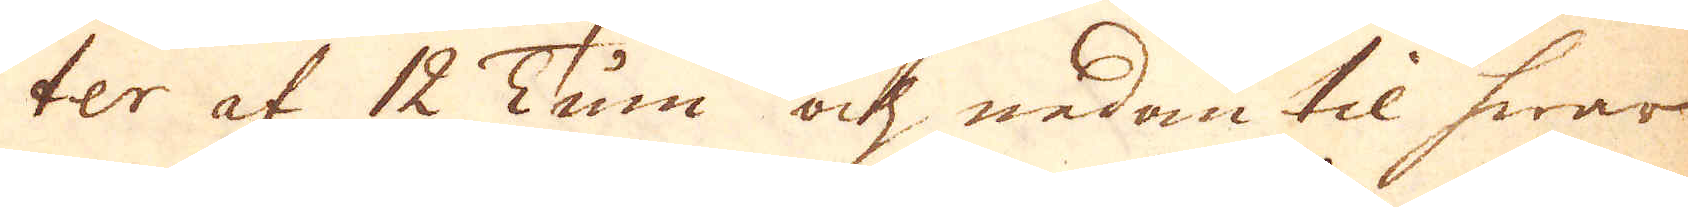ter af 12 Tum och nedan til hwar
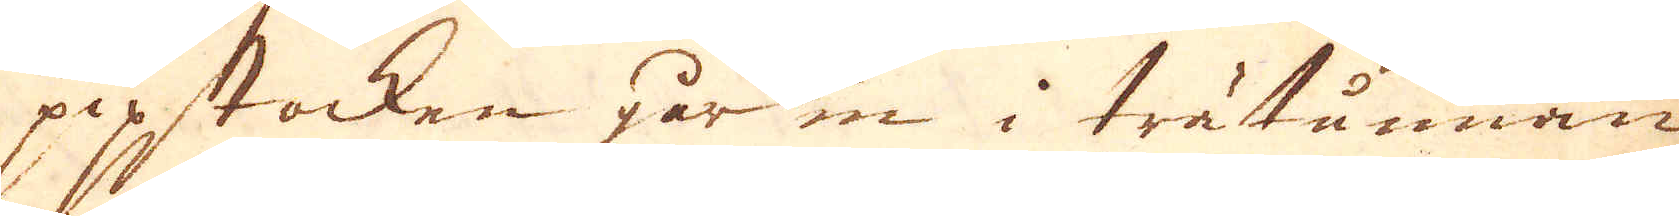pipstocken går in i trätunnan,
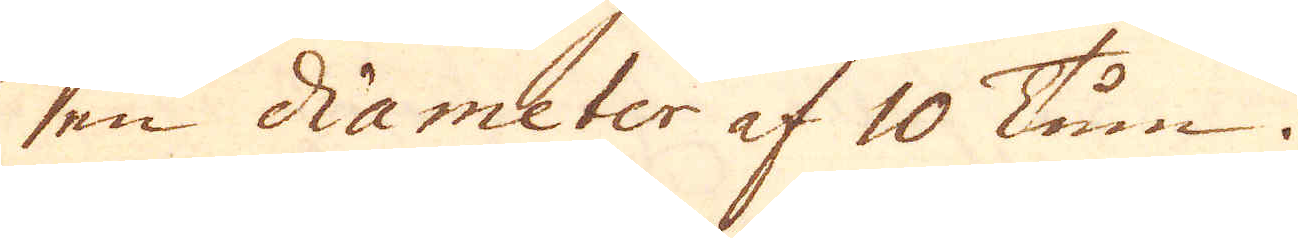en diameter af 10 Tum.
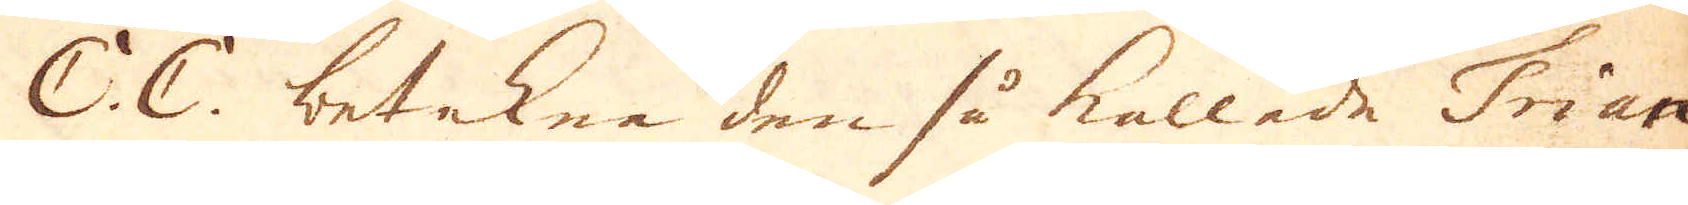C. C. betekna den så kallade Tian-
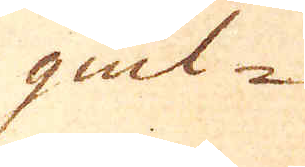giul-
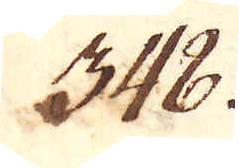348.
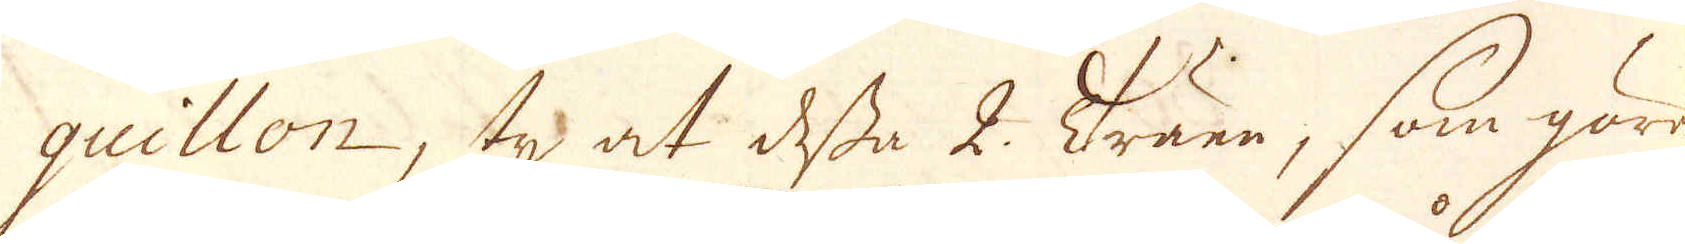quillon, ty at desse 2. Träen, som göra
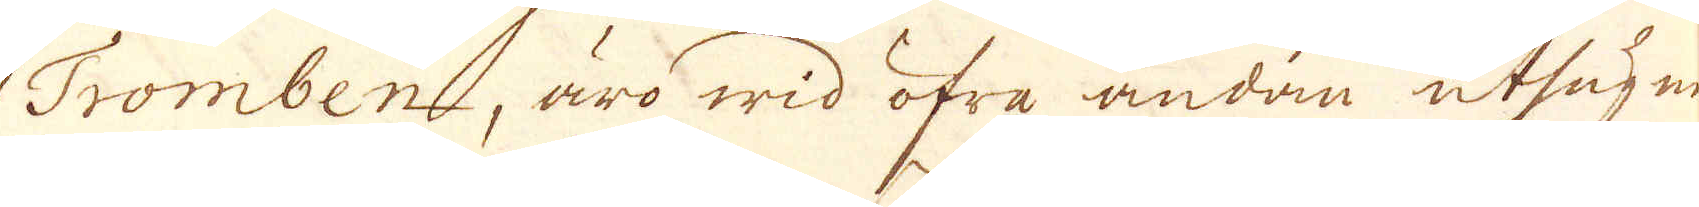Tromben, äro wid öfra ändan uthugen
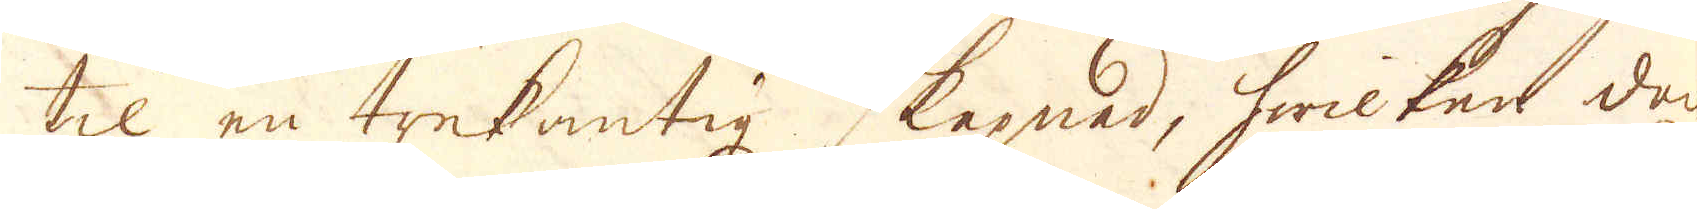til en trekantig skepnad, hwilken doch
